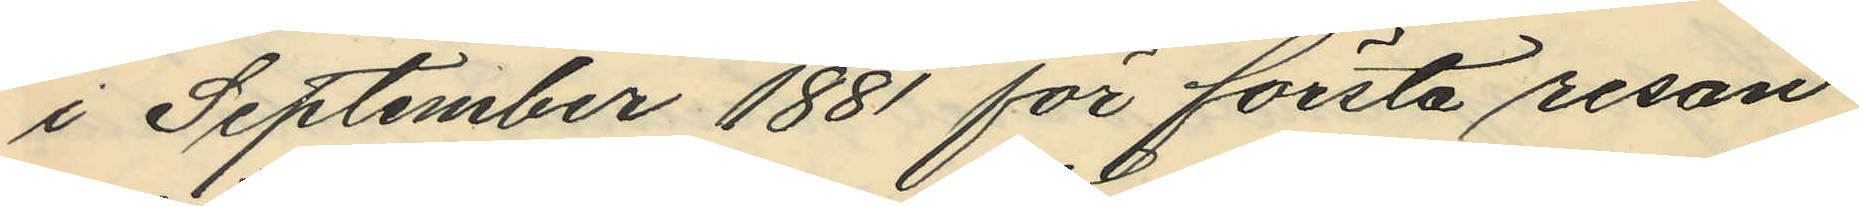i September 1881 för första resan
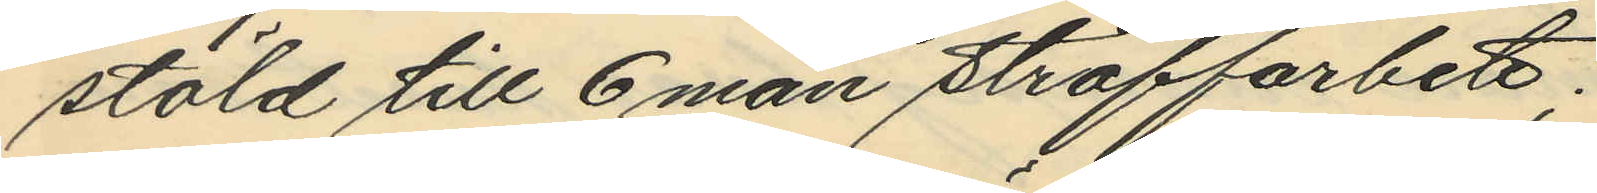stöld till 6 mån straffarbete;
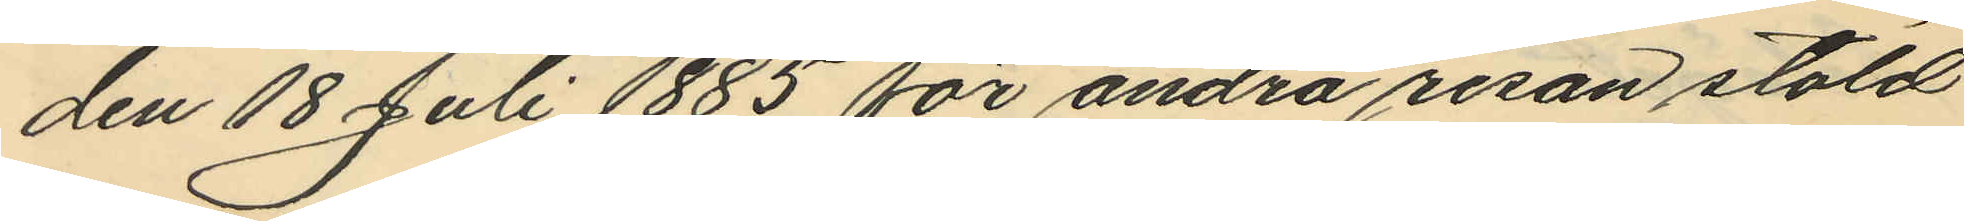den 18 Juli 1885 för andra resan stöld
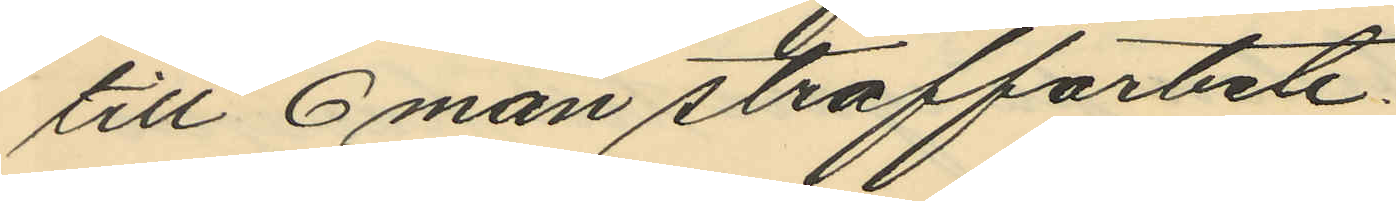till 6 mån straffarbete.
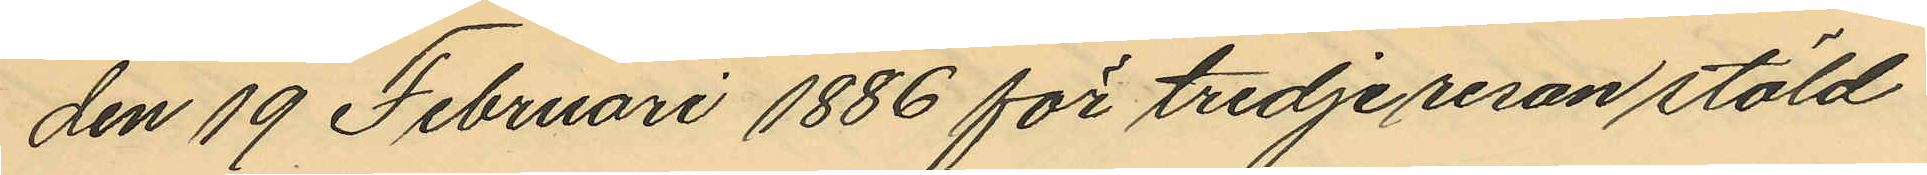den 19 Februari 1886 för tredje resan stöld
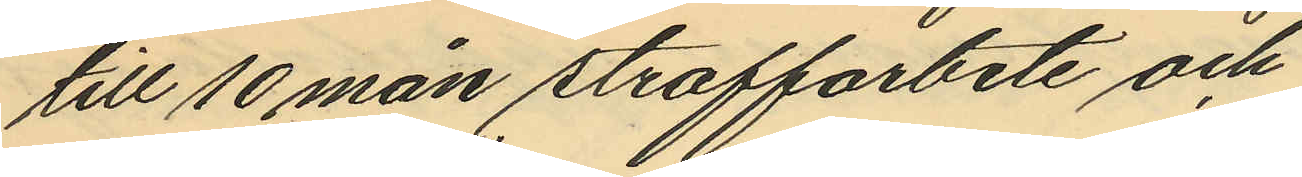till 10 mån straffarbete och
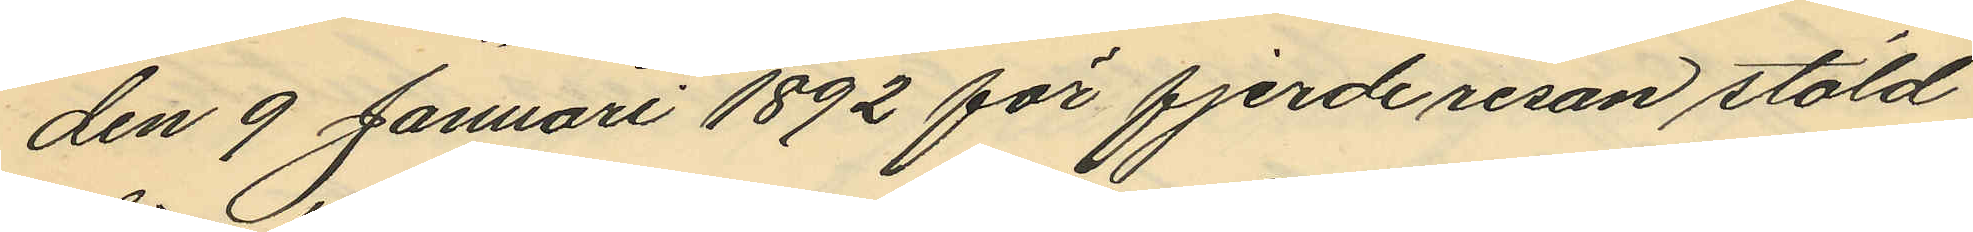den 9 Januari 1892 för fjerde resan stöld
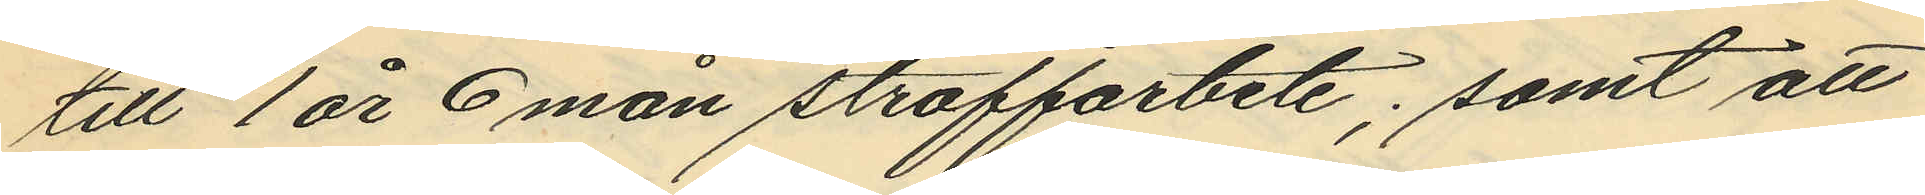till 1år 6 mån straffarbete; samt att
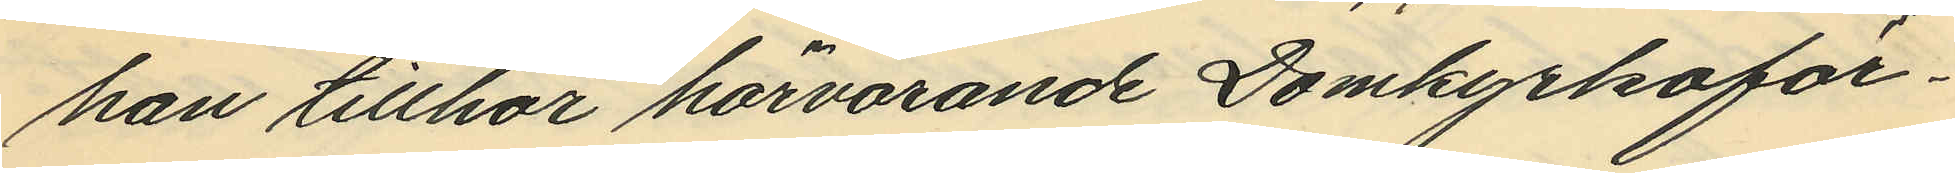han tillhör härvarande Domkyrkoför¬
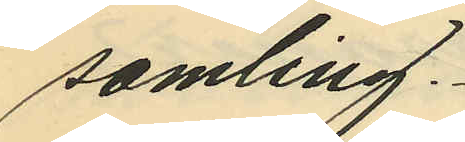samling.
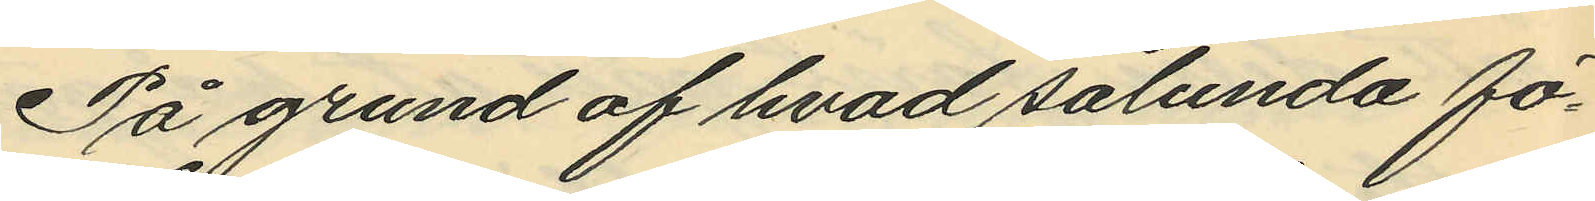På grund af hvad sålunda fö¬
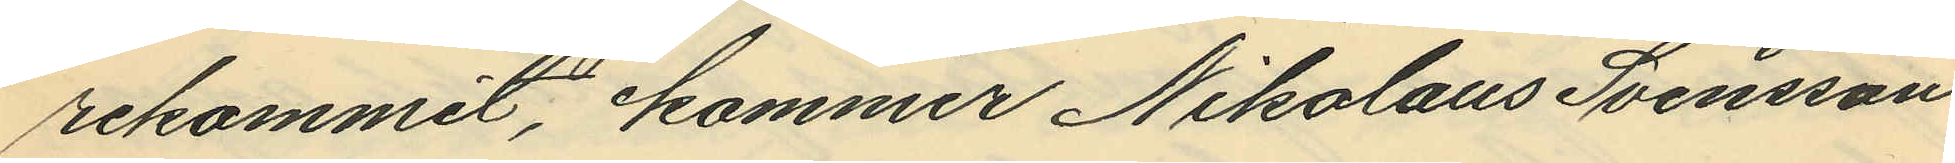rekommit, kommer Nikolaus Svensson
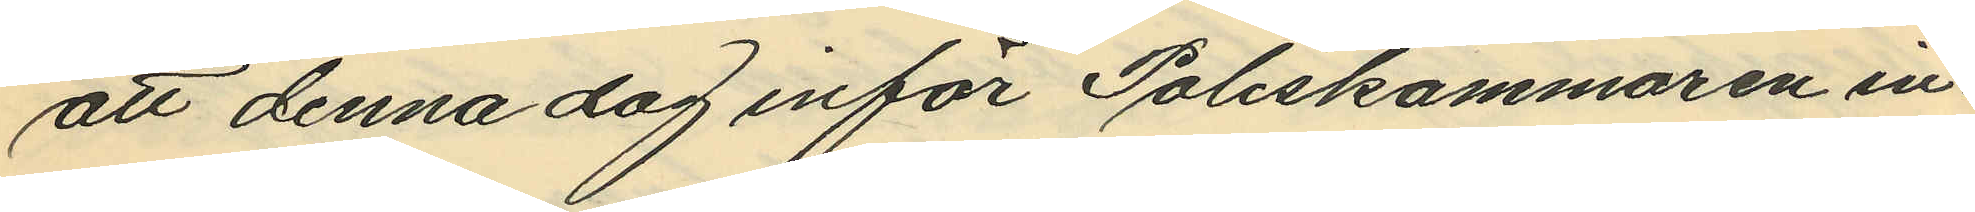att denna dag inför Poliskammaren in¬
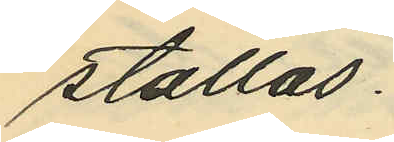ställas.
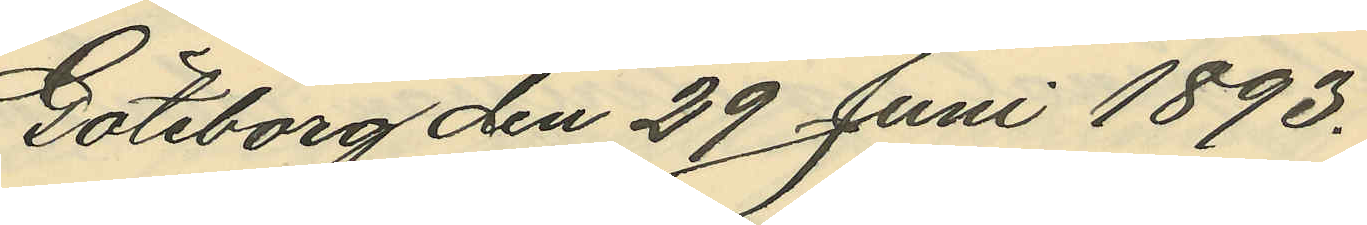Göteborg den 29 Juni 1893.
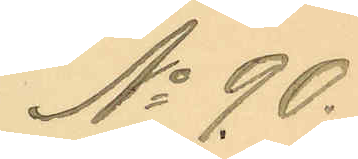No 90.
